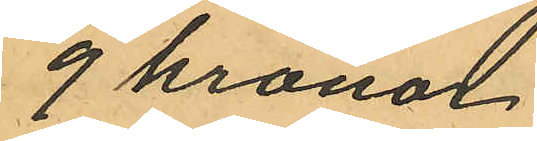9 kronor.
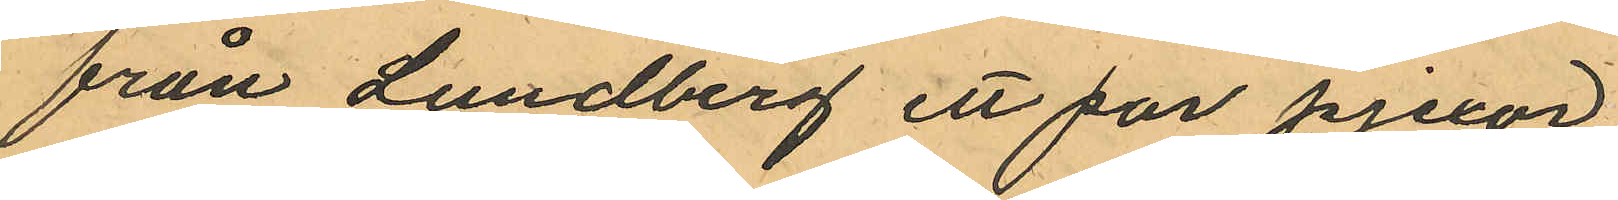från Lundberg ett par pjexor
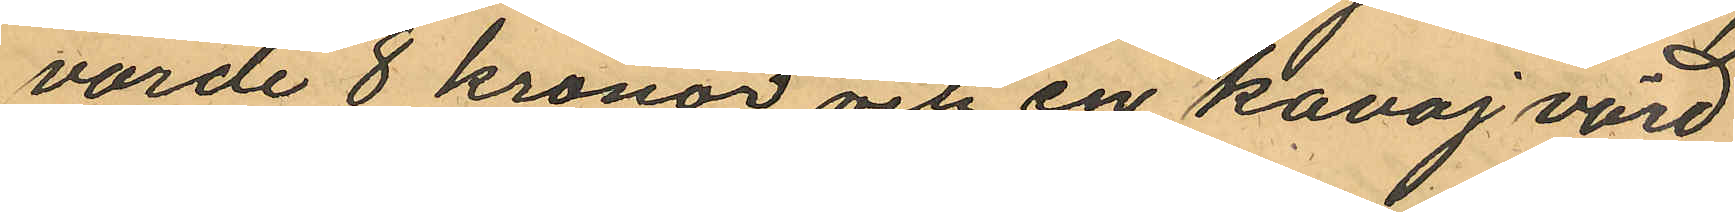värde 8 kronor och en kavaj värd
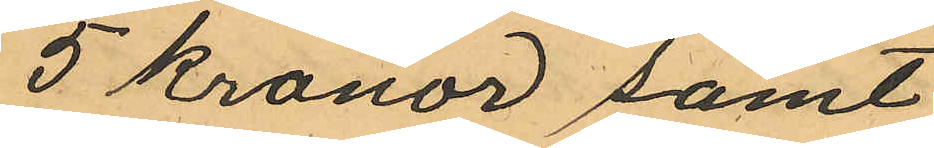5 kronor samt
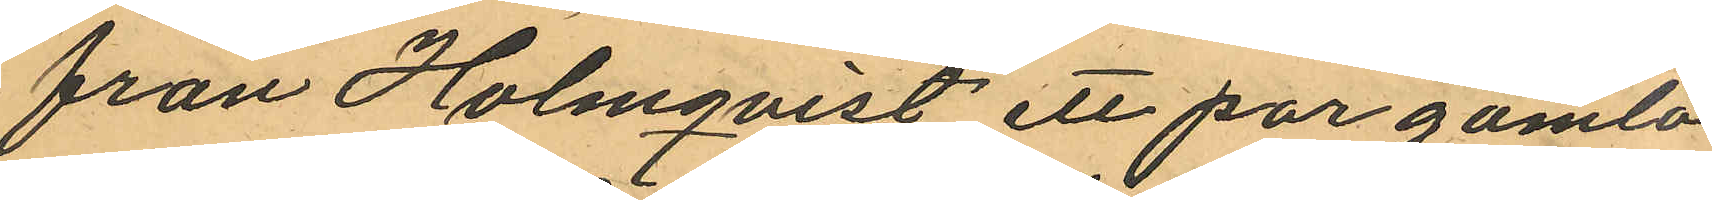från Holmqvist ett par gamla
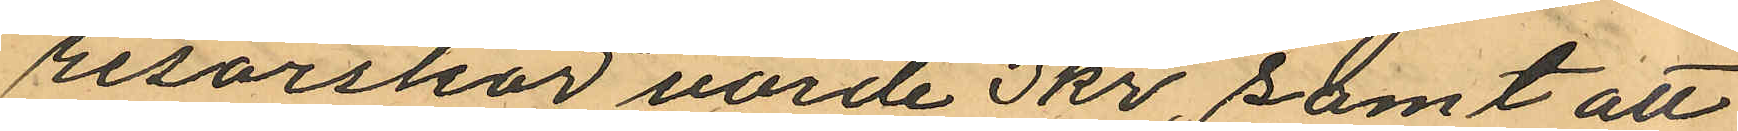resårskor värde 3 kr, samt att
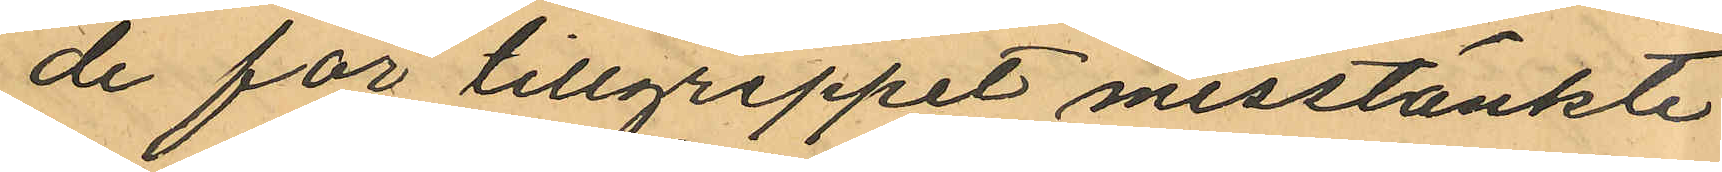de för tillgreppet misstänkte
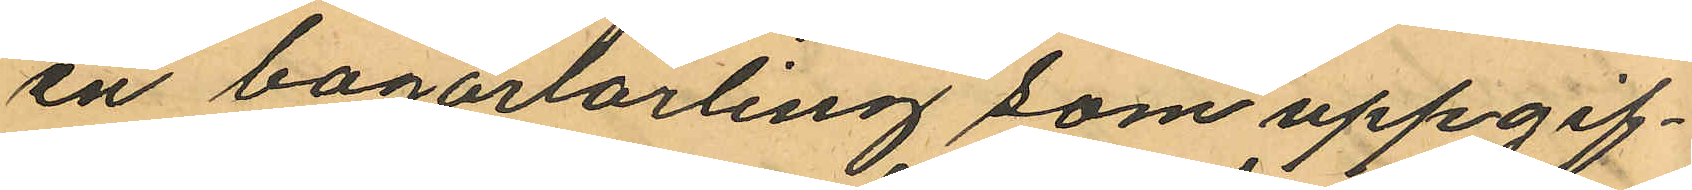en bagarlärling som uppgif¬
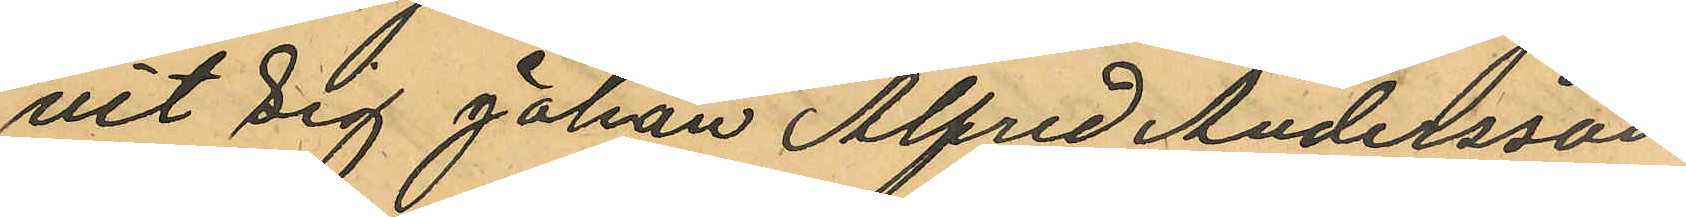vit sig Johan Alfred Andersson
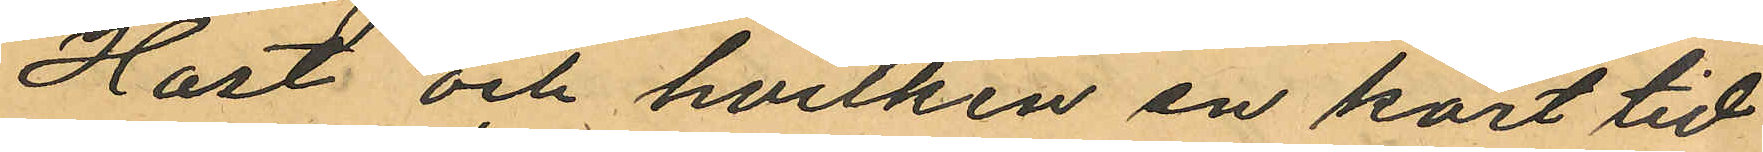Hast och hvilken en kort tid
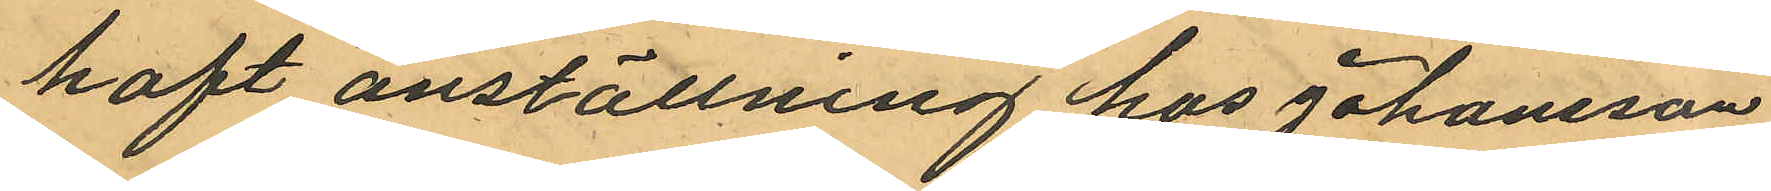haft anställning hos Johansson
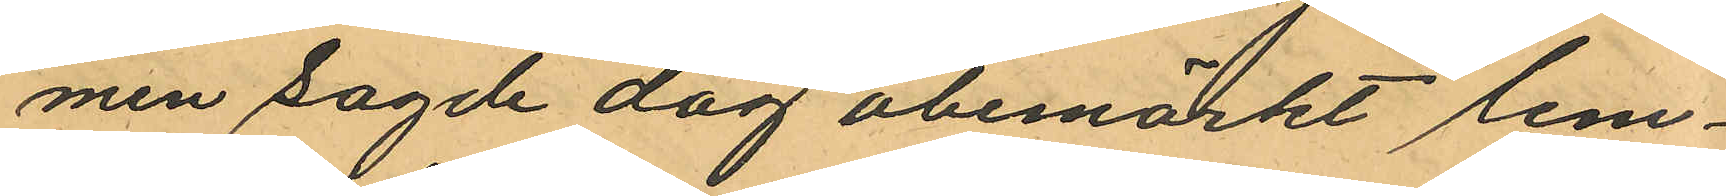men sagde dag obemärkt lem¬
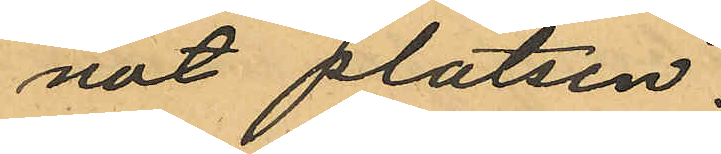nat platsen.
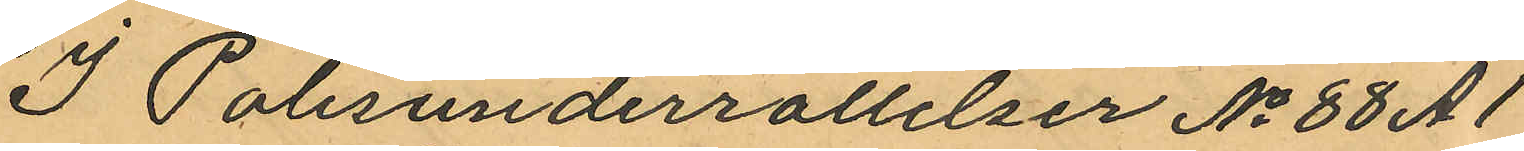I Polisunderrättelser No 88 A1
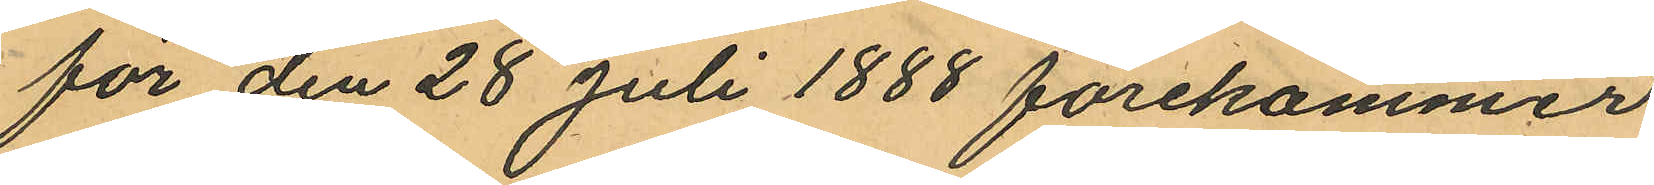för den 28 Juli 1888 förekommer
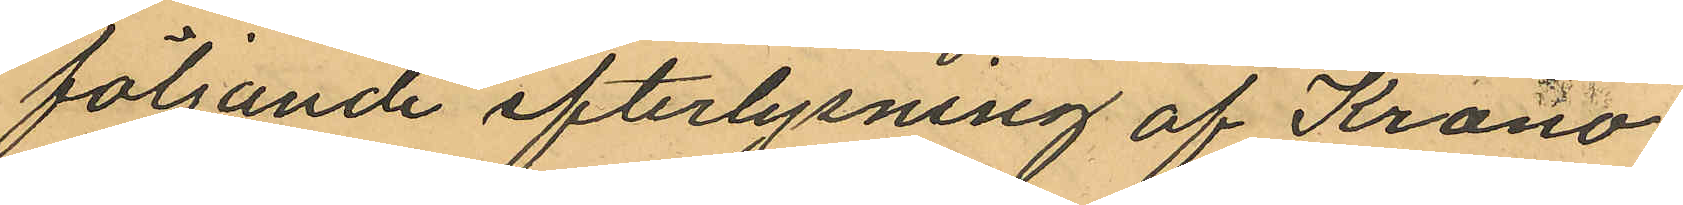följande efterlysning af Krono¬
